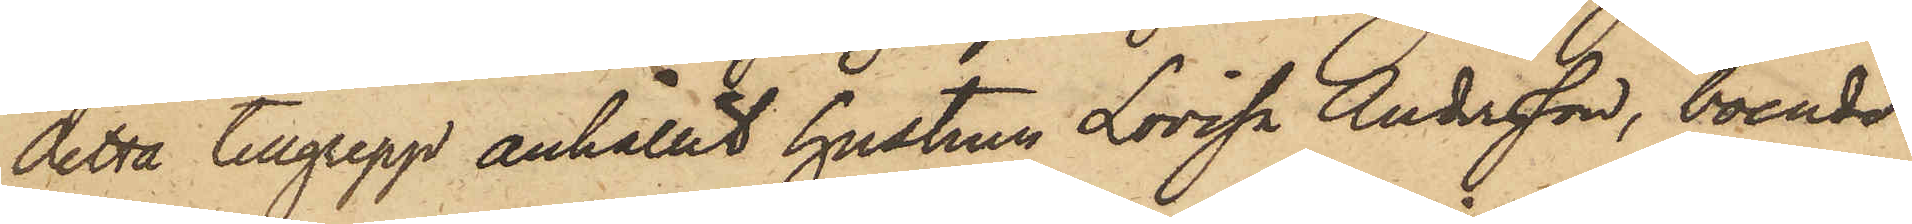detta tillgrepp anhållit hustrun Lovisa Andersson, boende
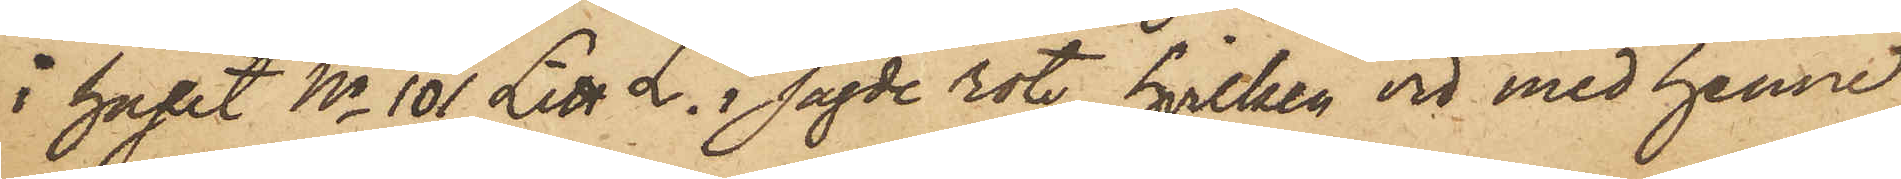i huset No 101 Litt L. i sagde rote, hvilken vid med henne
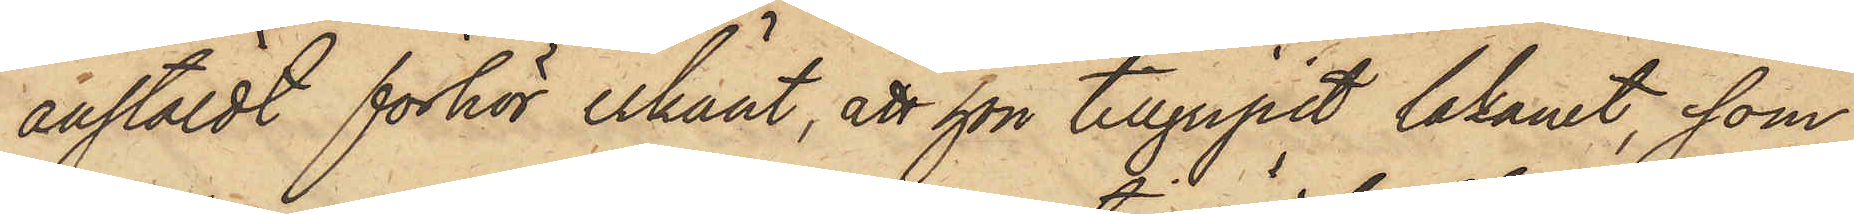anstäldt förhör erkänt, att hon tillgripit lakanet, som
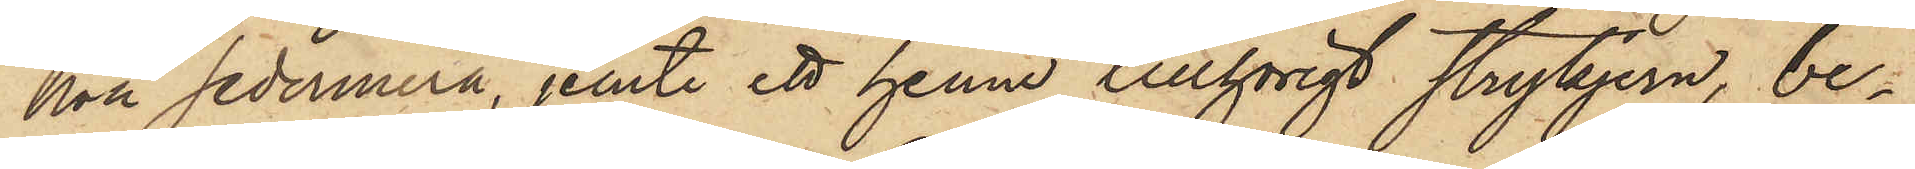hon sedermera, jemte ett henne tillhörigt strykjern, be¬
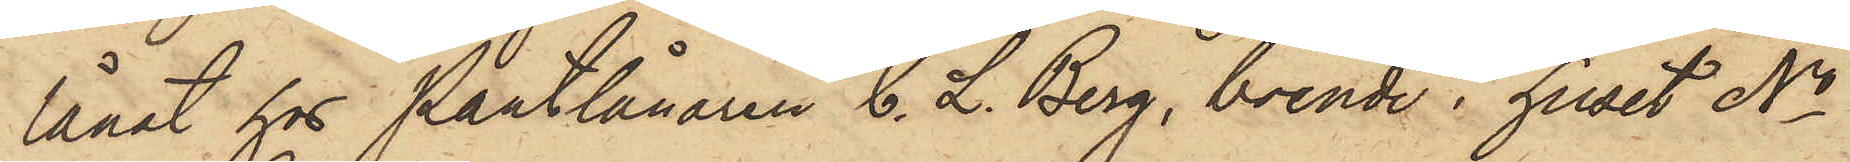lånat hos Pantlånaren C. L. Berg, boende i huset No
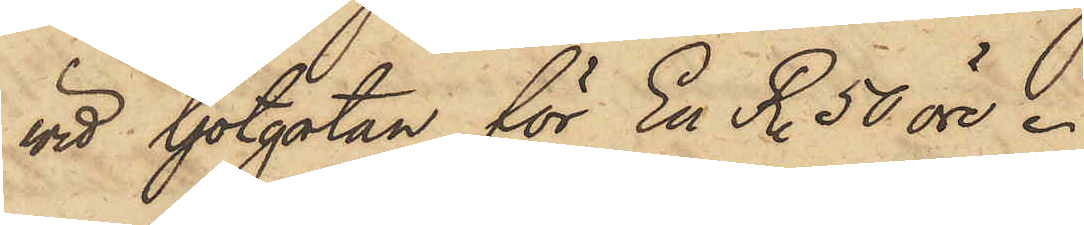vid Götgatan för En R. 50 öre.
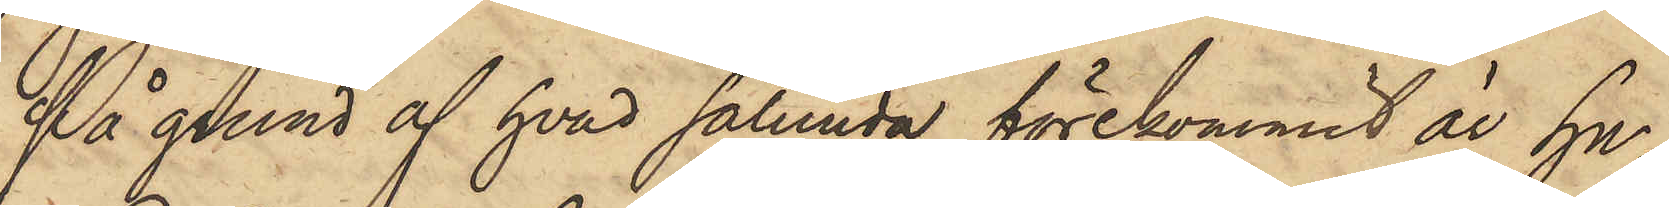På grund af hvad sålunda förekommit är hu¬
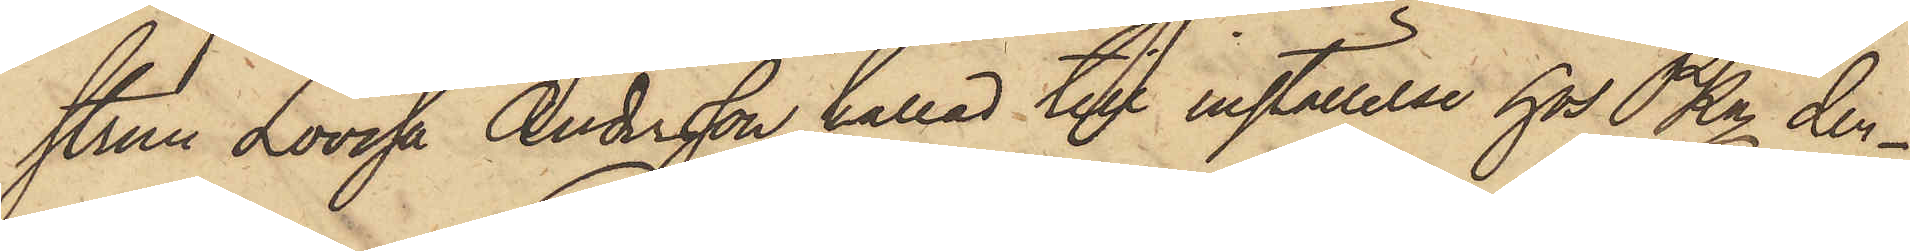strun Lovisa Andersson kallad till inställelse hos PKn den¬
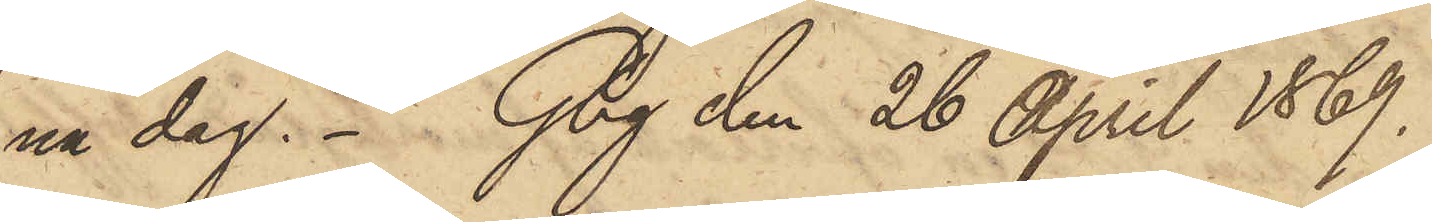na dag. Gbg den 26 April 1869.
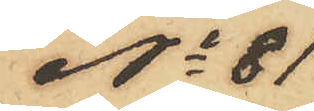No 81
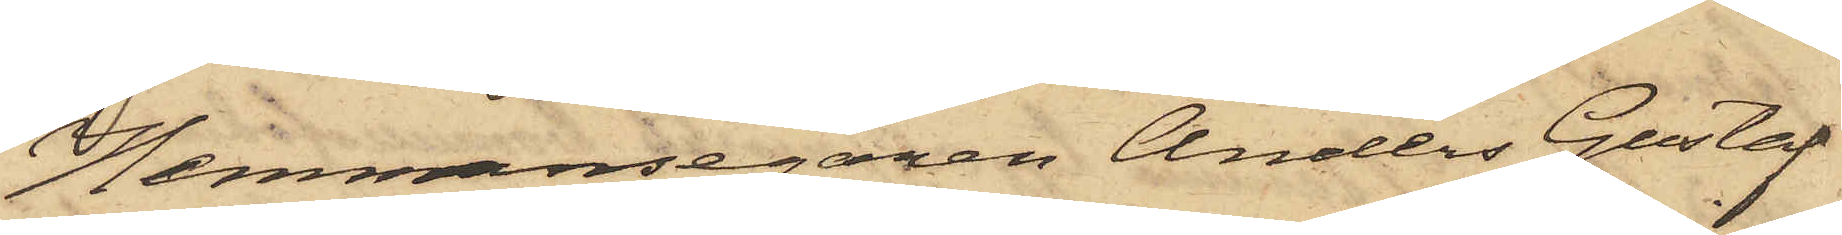Hemmansegaren Anders Gustaf
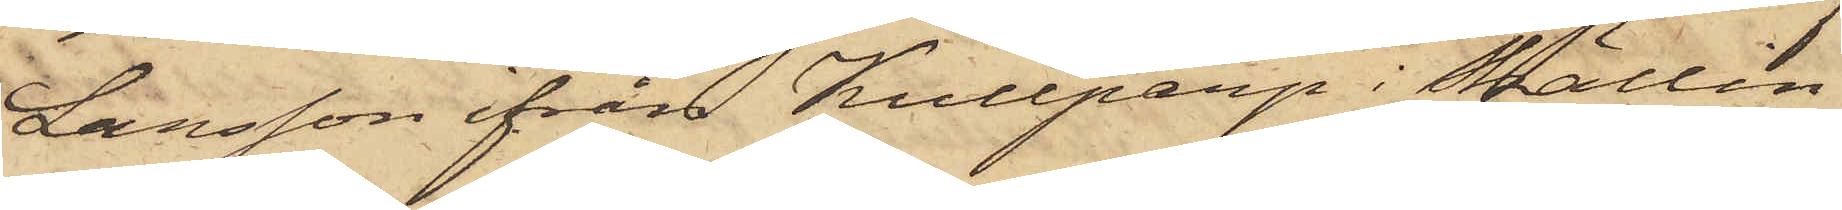Larsson ifrån Kullparp i Skällin¬
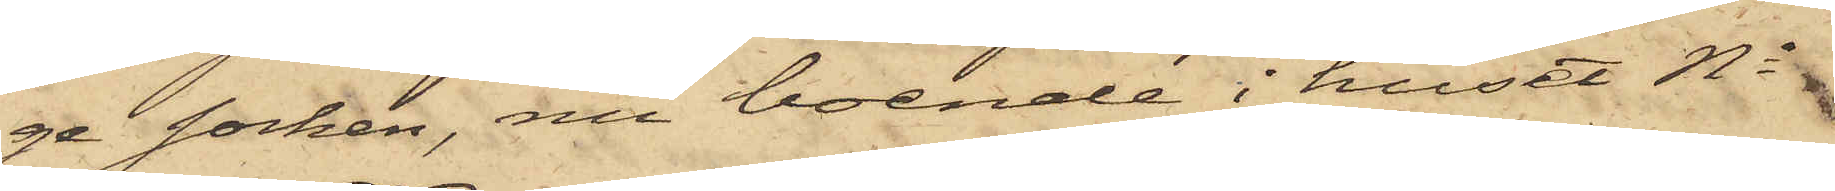ge Socken, nu boende i huset No
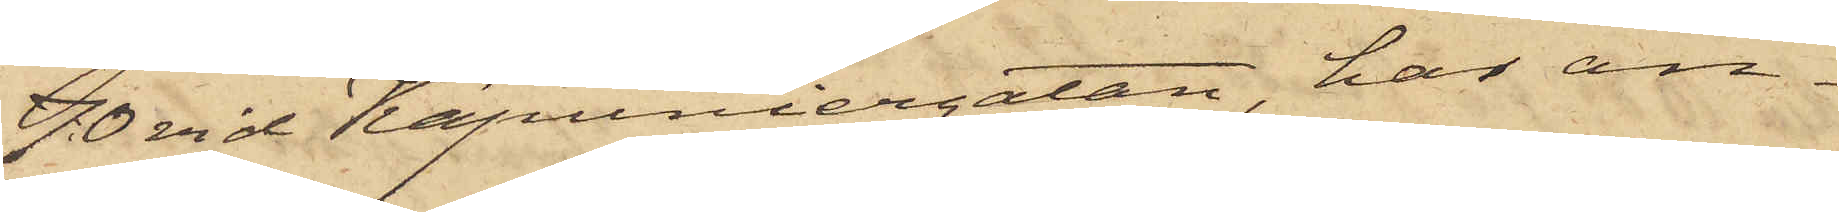70 vid Kapuniergatan, har an¬
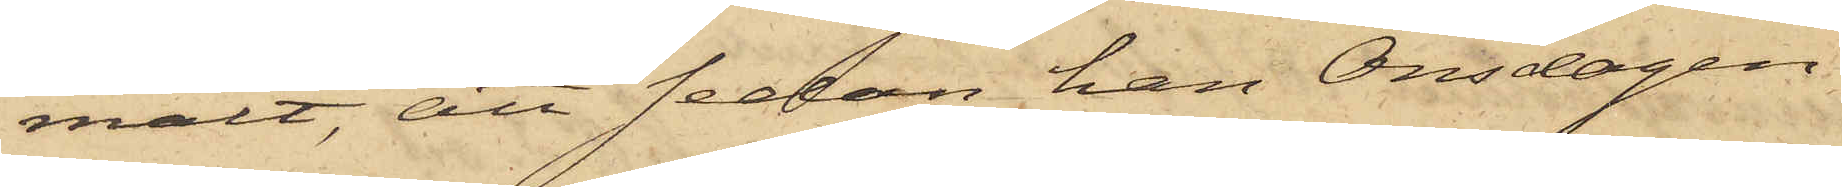mält, att sedan han Onsdagen
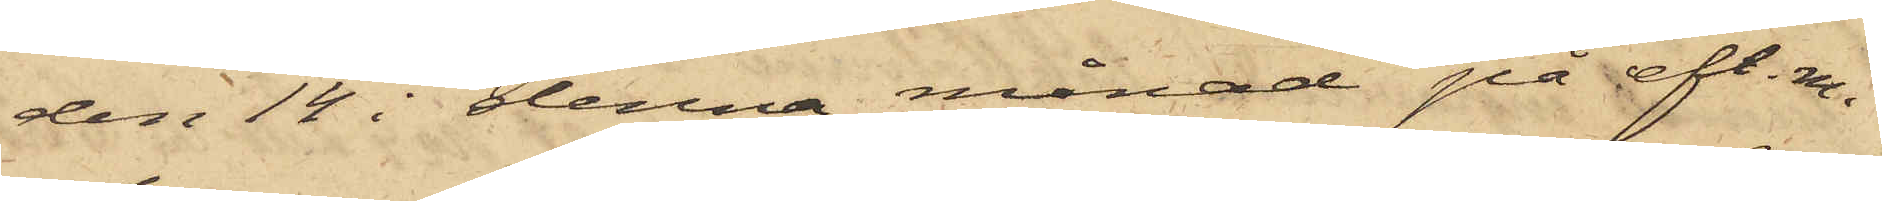den 14 i denna månad på eft. m.
